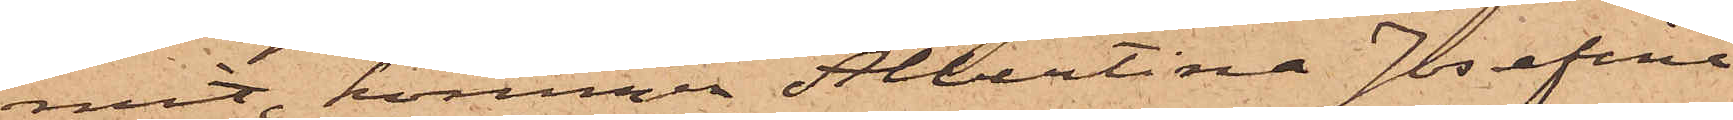mit, kommer Albertina Josefina
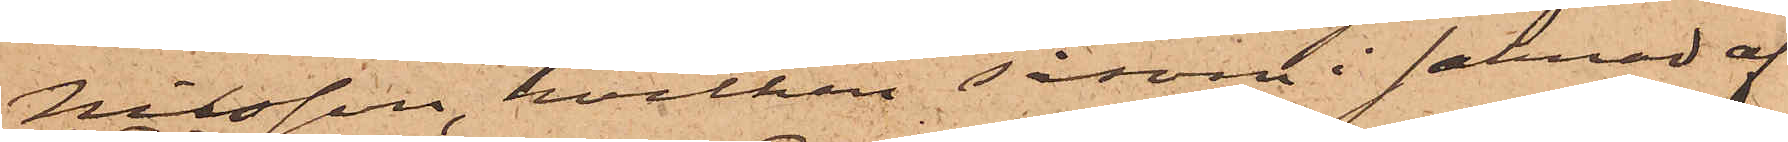Nilsson, hvilken såsom i saknad af
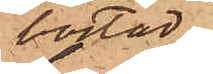bostad
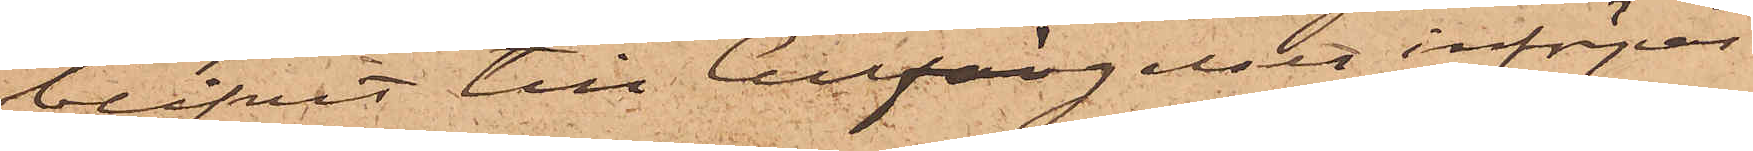blifvit till Cellfängelset införpas¬
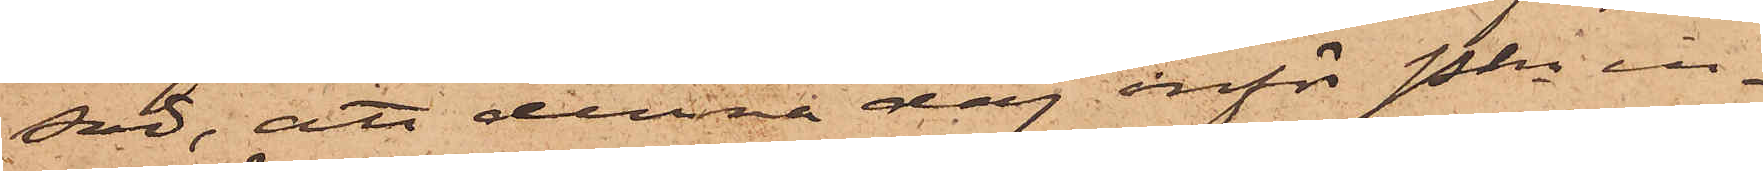sad, att denna dag inför Pkn in¬
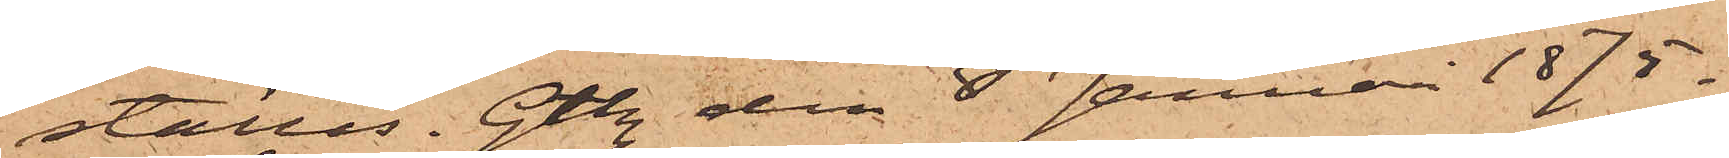ställas. Gtbg den 8 Januari 1875.
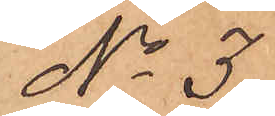No 3
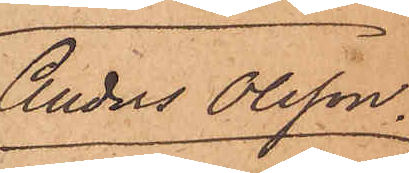Anders Olsson.
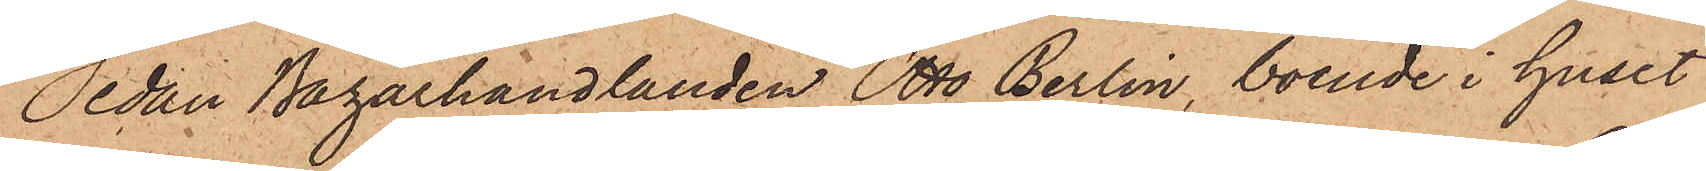Sedan Bazarhandlanden Otto Berlin, boende i huset
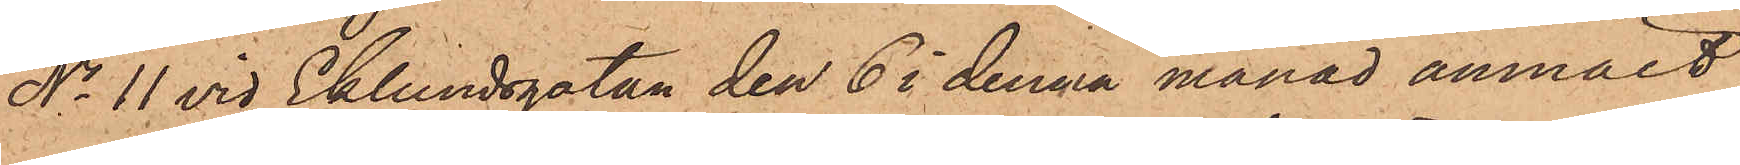No 11 vid Eklundsgatan den 6 i denna månad anmält,
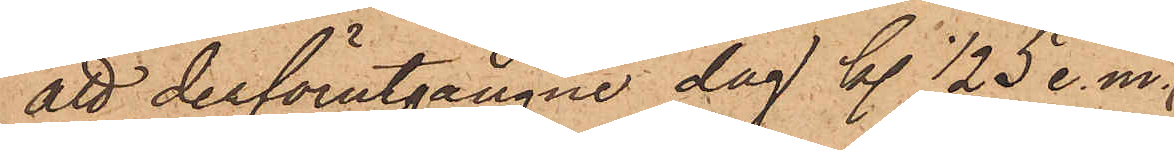att derförutgångne dag kl. 1/2 5 e. m.
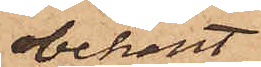obekant
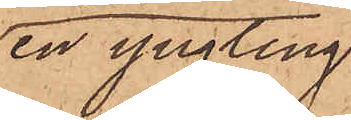en yngling
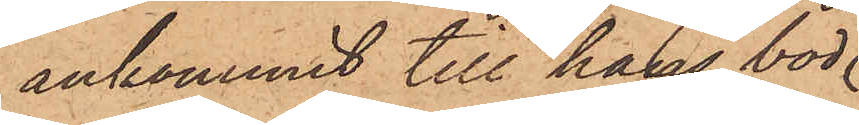ankommit till hans bod.
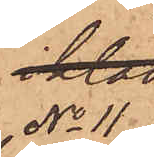No 11
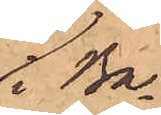i Ba¬
